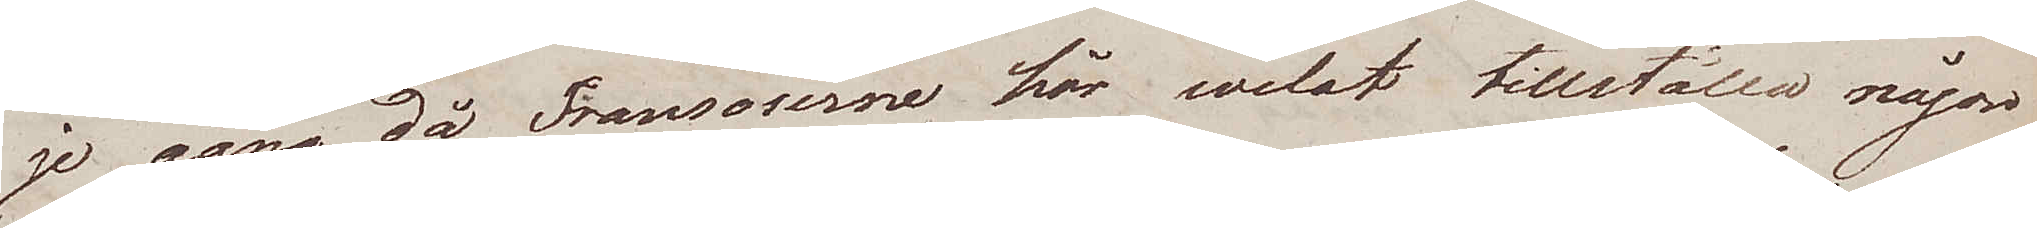je gång då Fransoserne här welat tillställa någon
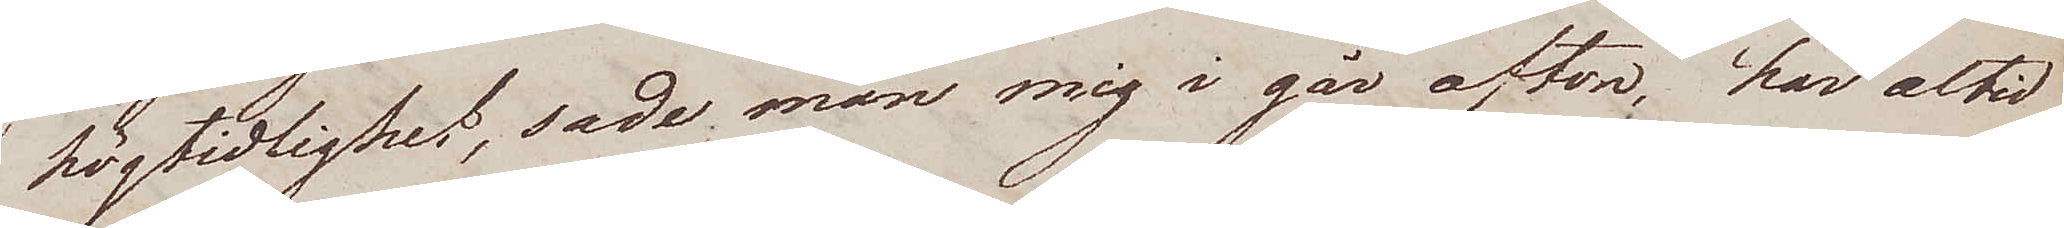högtidlighet, sade man mig i går afton, har altid
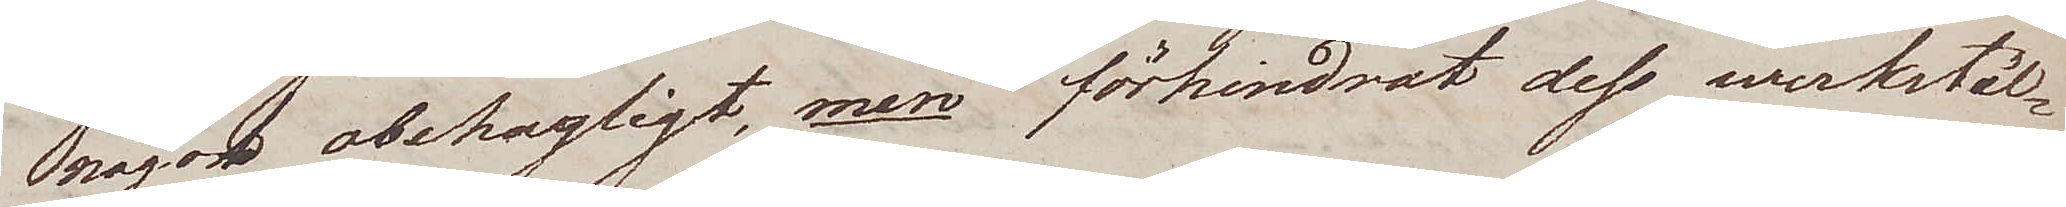något obehagligt, men förhindrat dess werkstäl¬
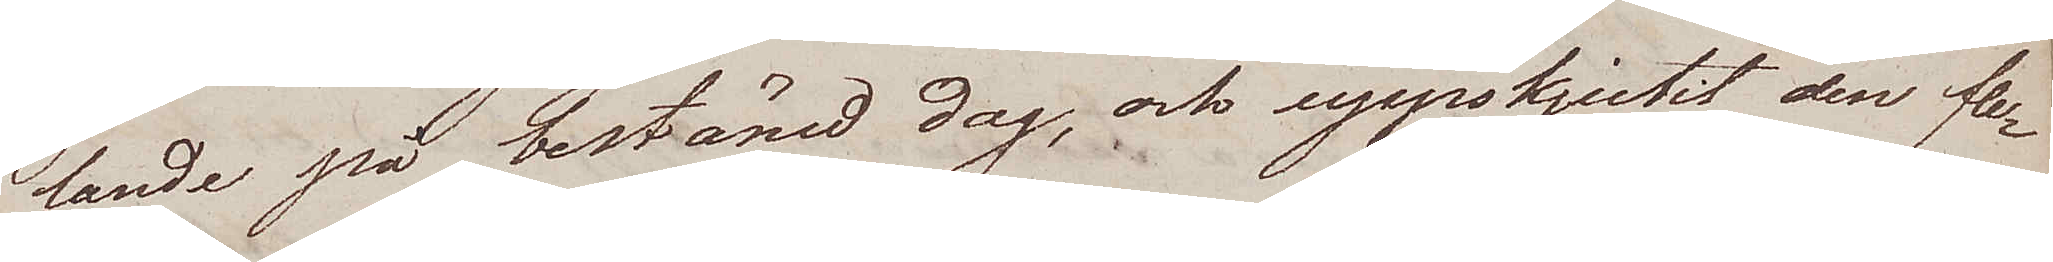lande på bestämd dag, och uppskjutit den fle¬
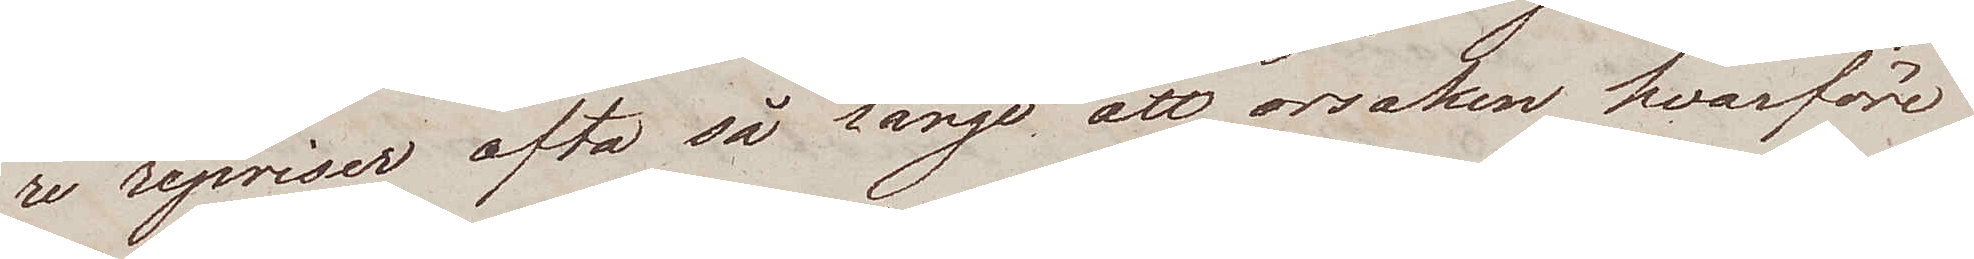re repriser ofta så länge att orsaken hvarföre
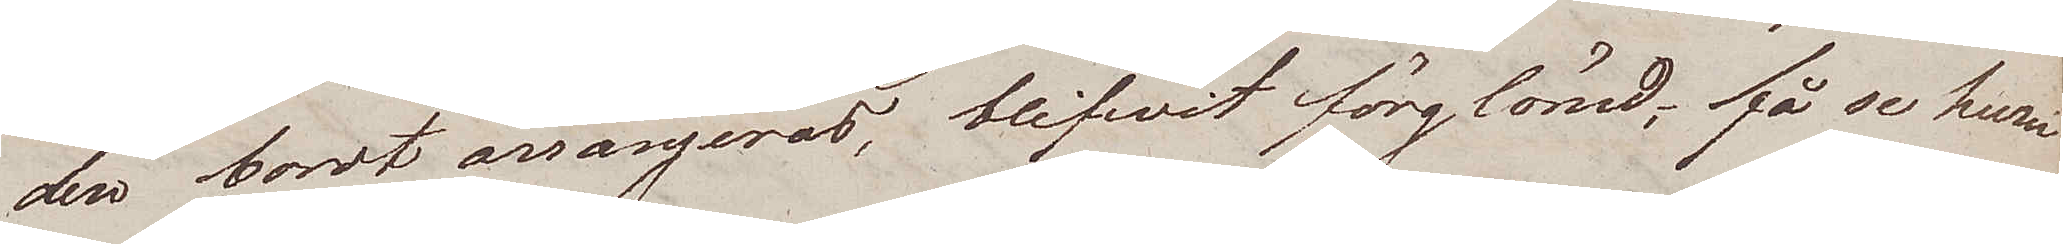den bordt arrangeras, blifvit förglömd, få se hur
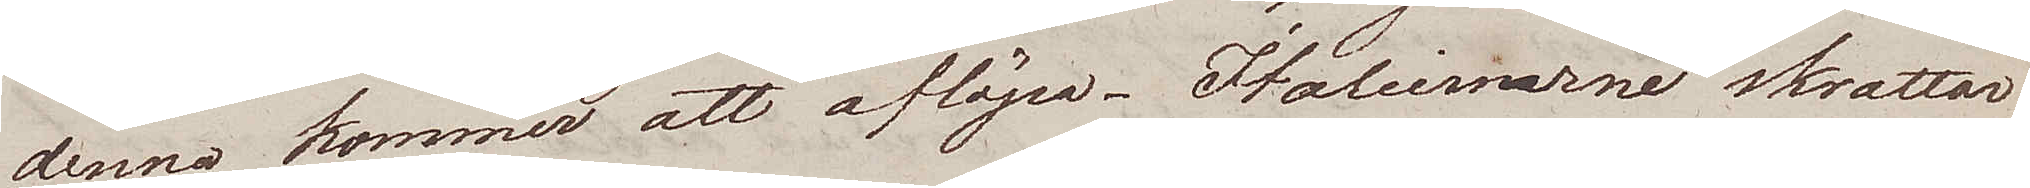denna kommer att aflöpa. Italiernarne skrattar
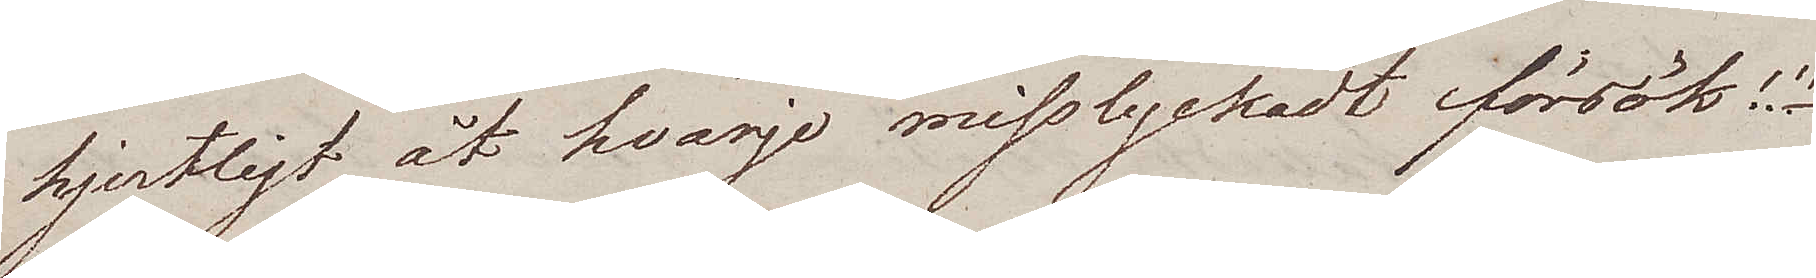hjertligt åt hvarje misslyckadt försök!!!
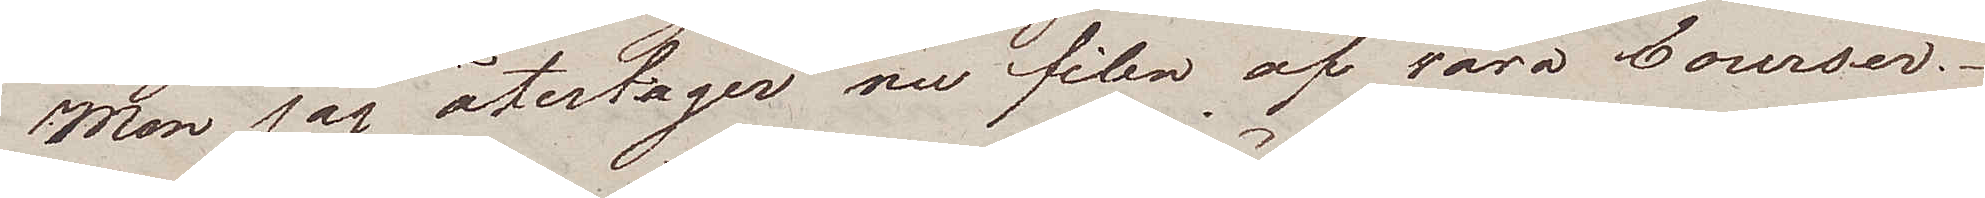Man jag återtager nu filen af våra Courser.
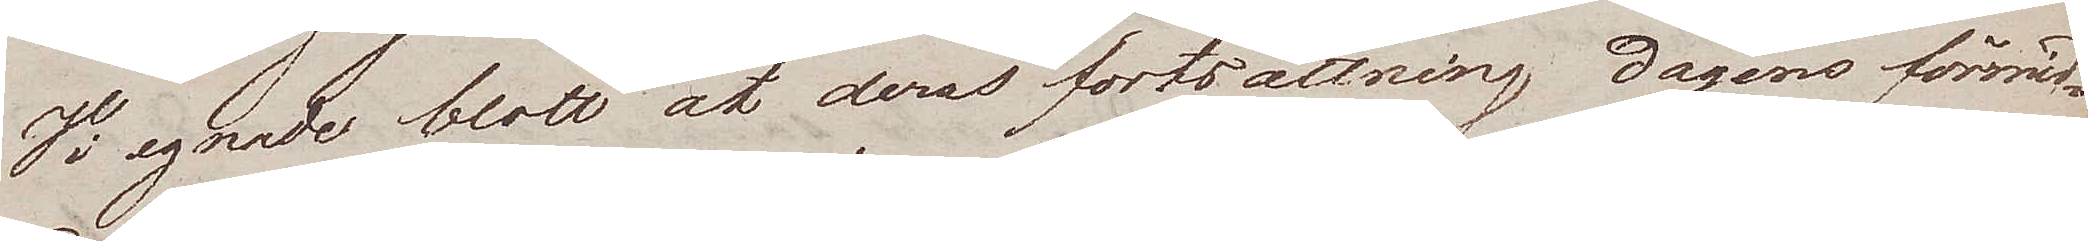Vi egnade blott åt deras fortsättning dagens förmid¬
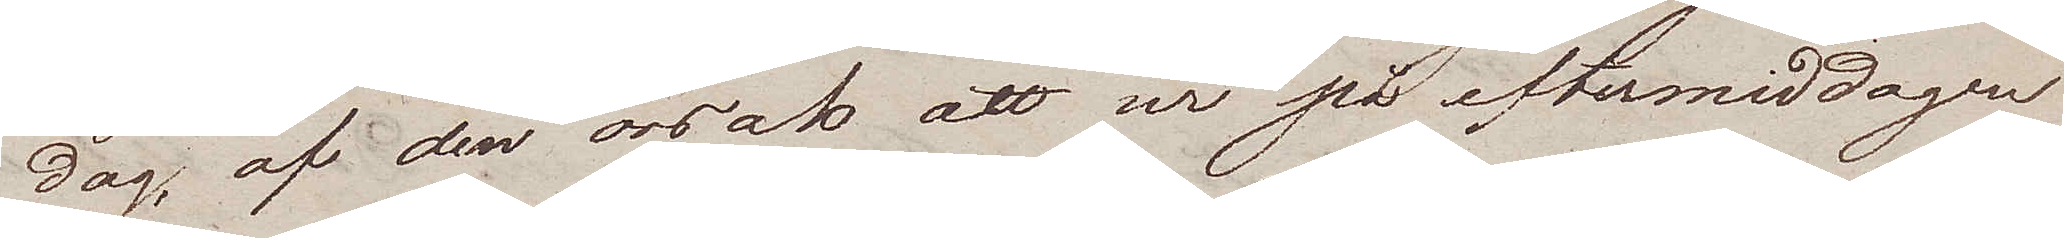dag, af den orsak att wi på eftermiddagen
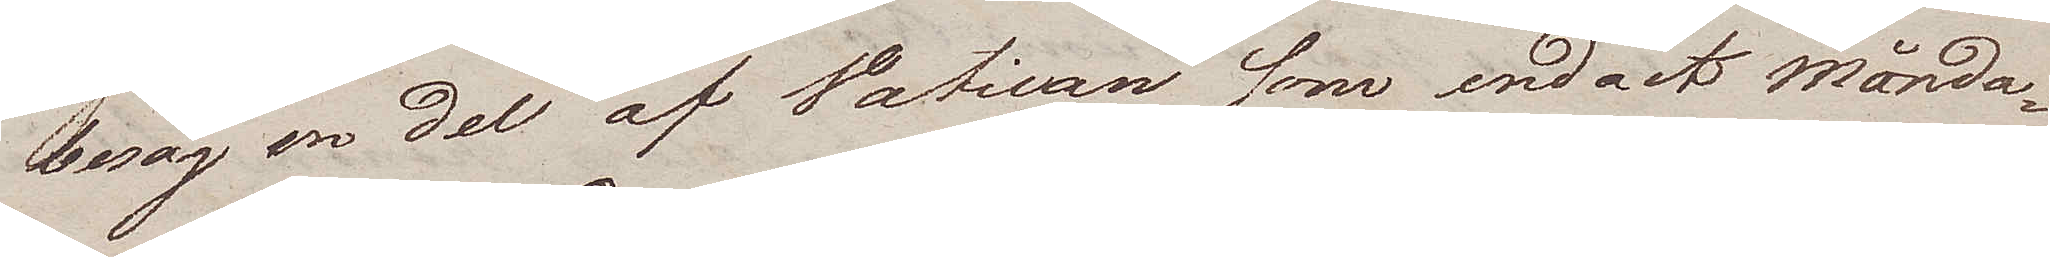besåg en del av Vatican som endast Månda¬
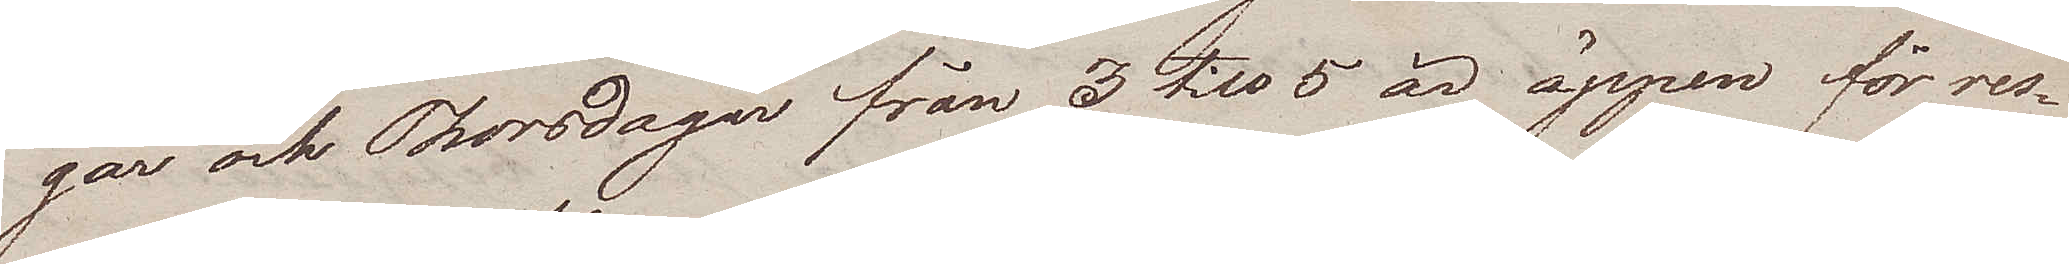gar och Thorsdagar från 3 till 5 är öppen för res¬
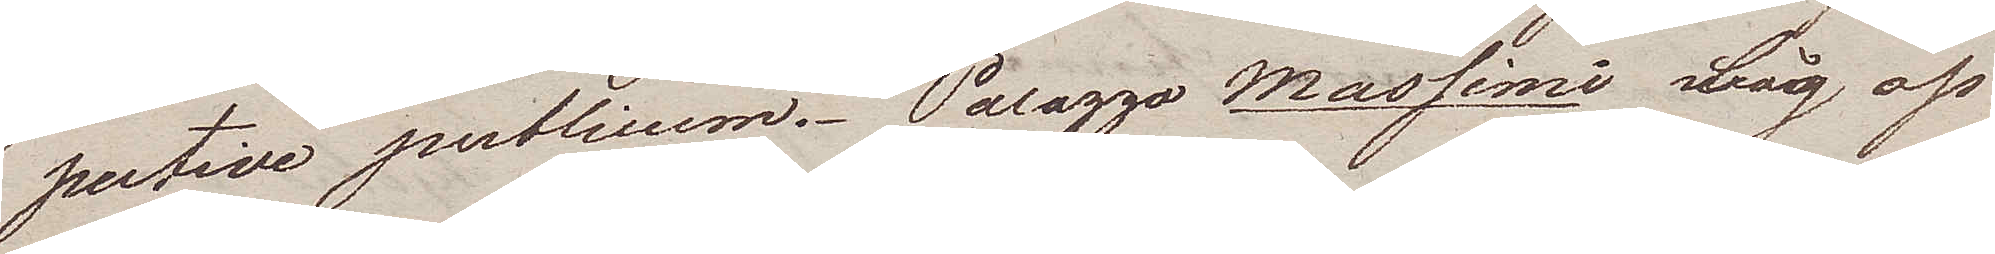pective publicum. Palazza Massimi låg oss
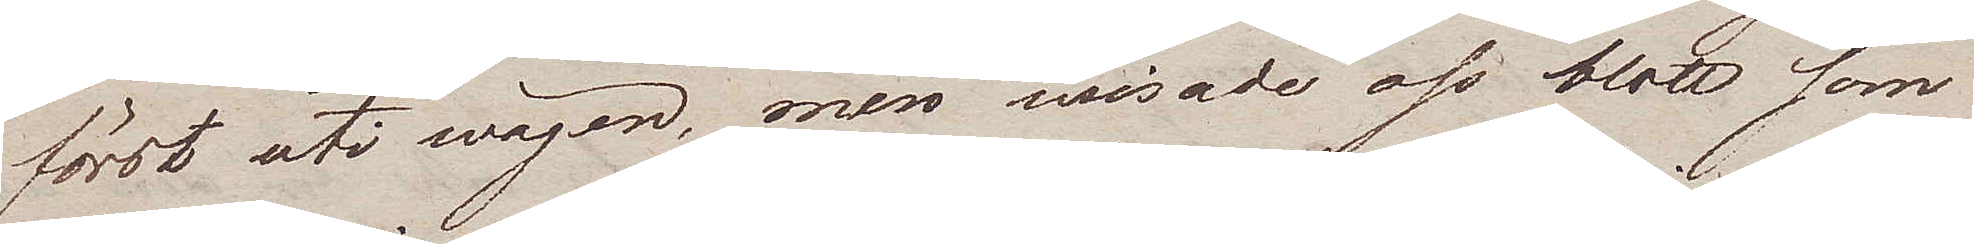först uti wägen, men wisade oss blott som
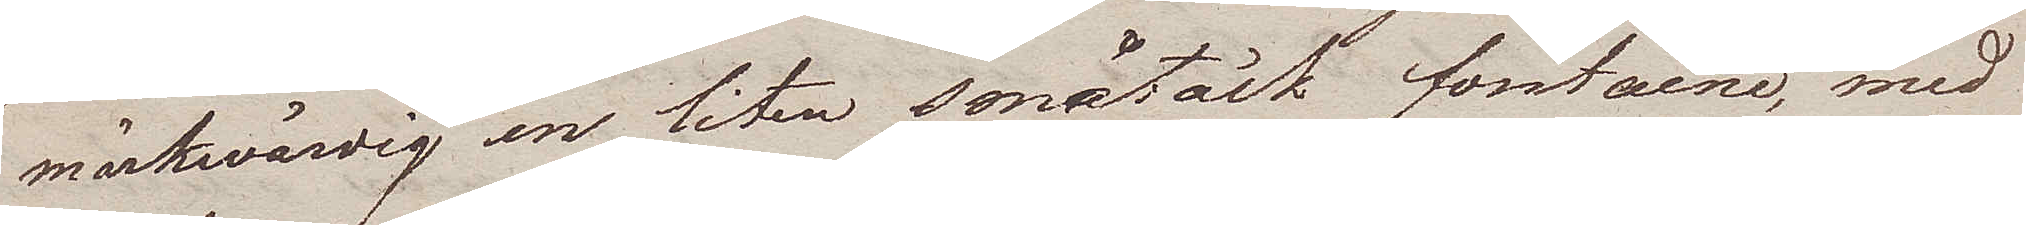märkwärdig en liten småtäck fontaine, med
